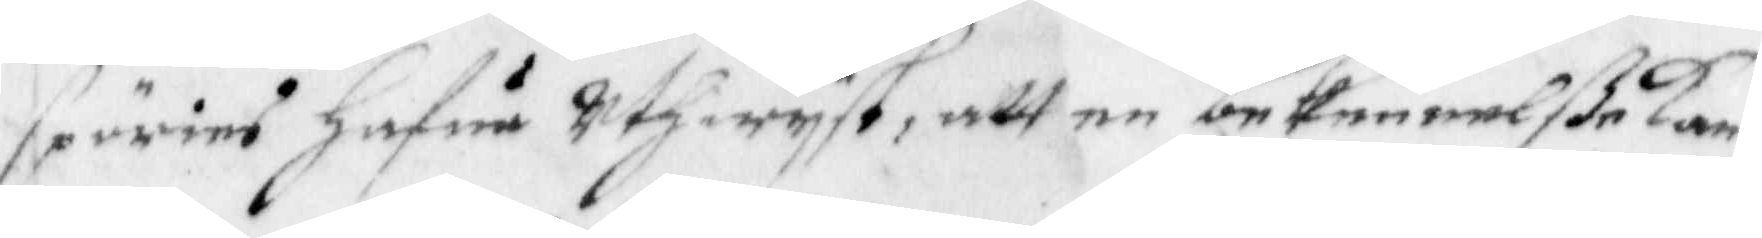spörias hafua uthwyst, att en bekennelße kan
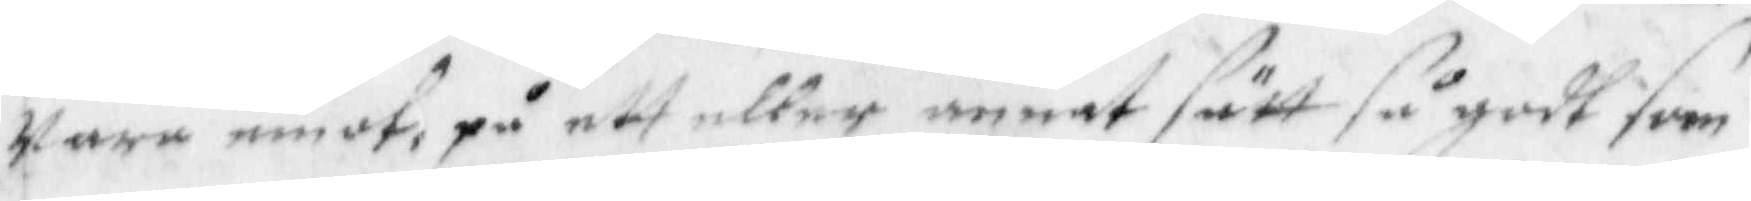wara emot, på ett eller annat sätt så godt som
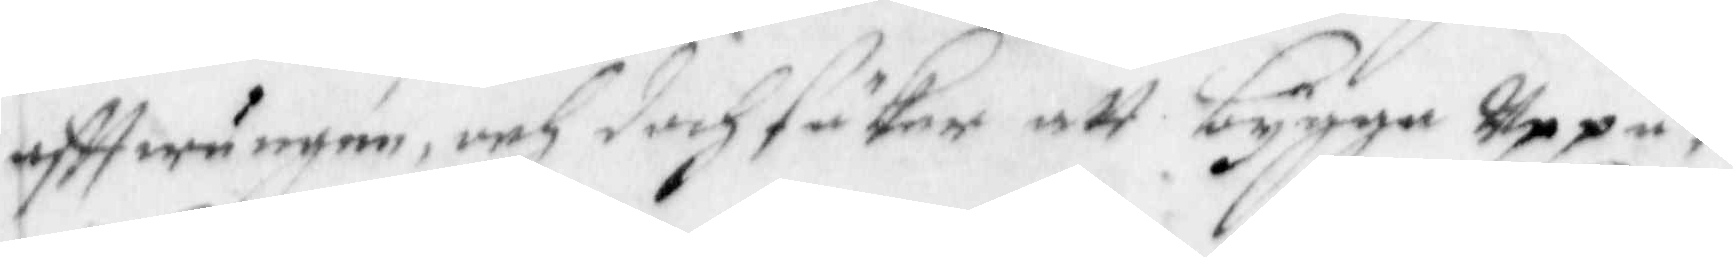aftwungen, och doch säker att bygga Uppå,
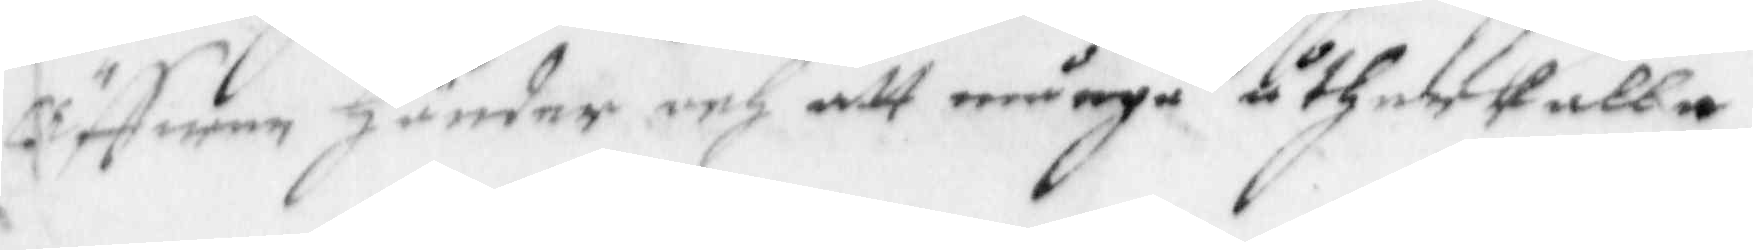Äffwen händer och att många åtherkalla
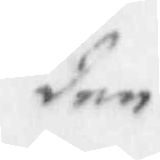den
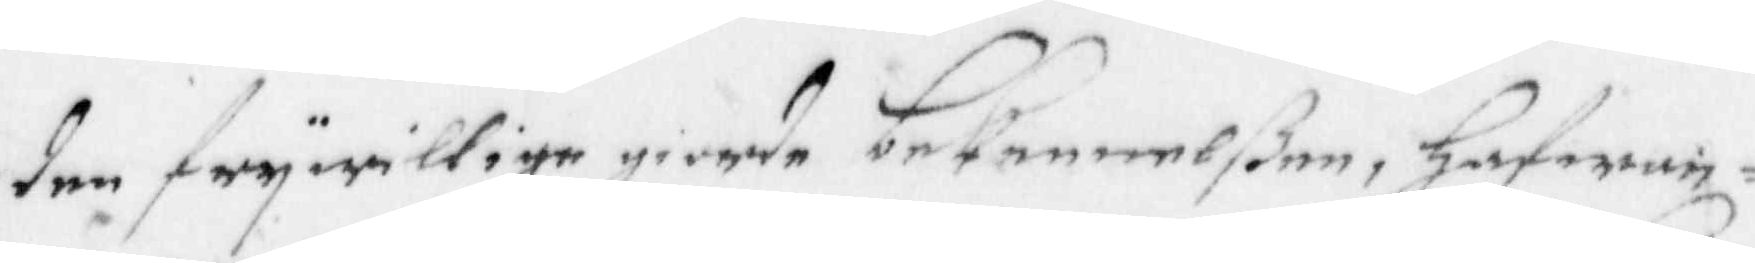den frywillige giorde bekennelßen, hafwan¬
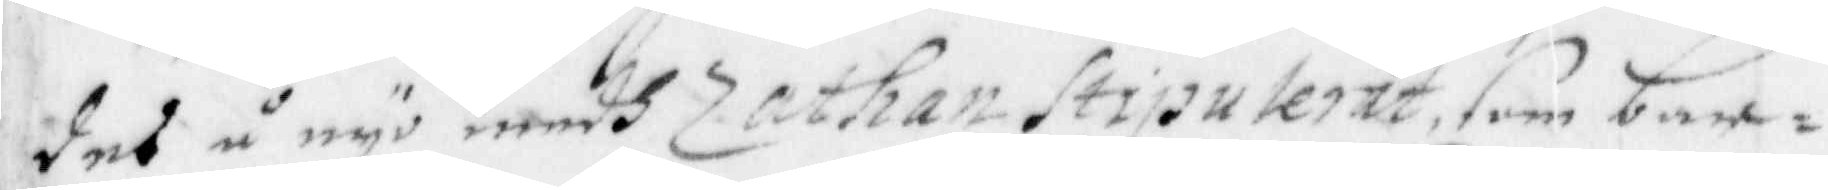des å nyo medh Zathan Stiputerat, som barn¬
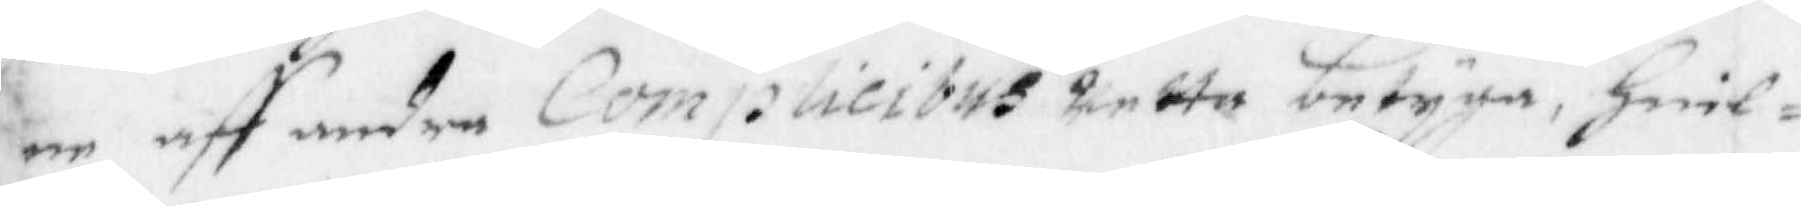ne att andre Complicibus wetta betyga, hwil¬
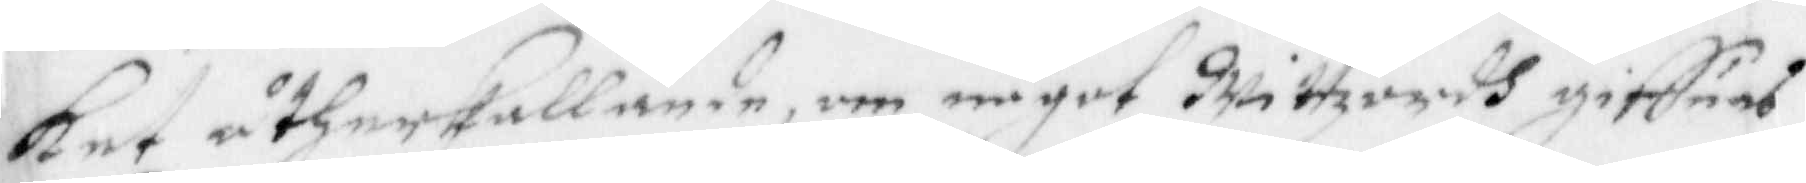ket åtherkallande, om något Wittzordh giffues
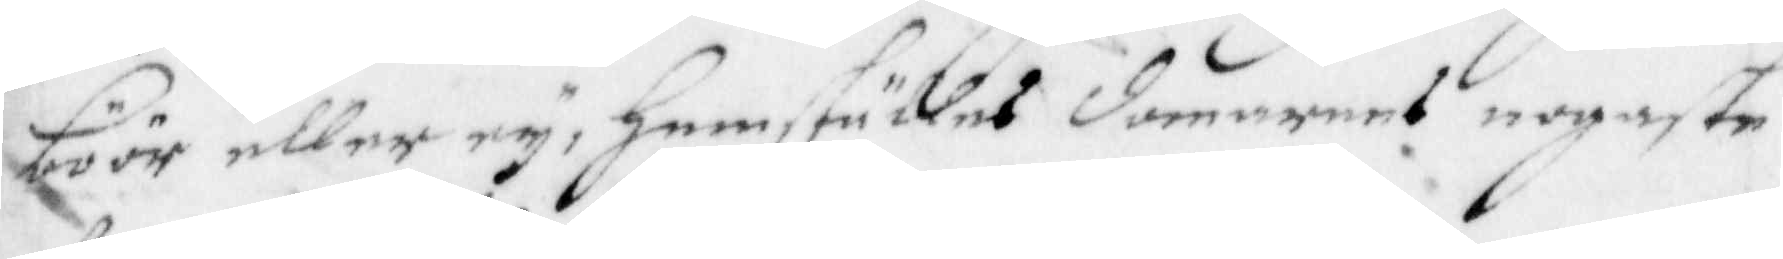böör eller ey, hemställes domarens nogaste
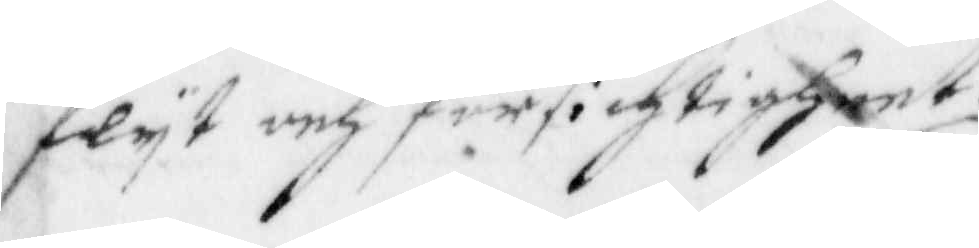flyt och försichtigheet.
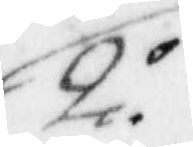2.o
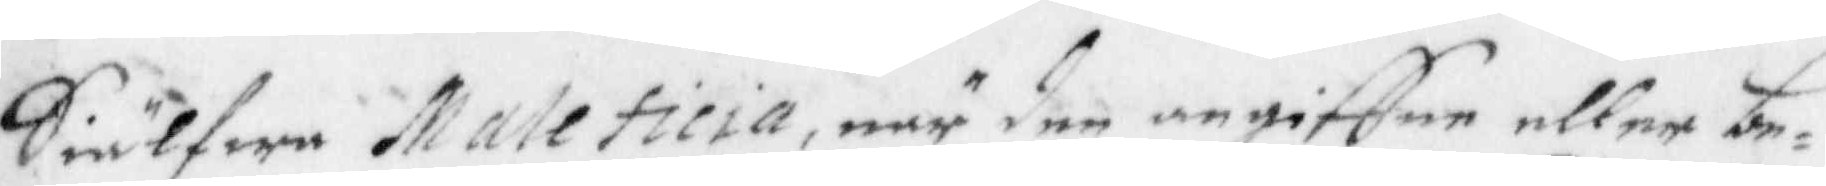Siulfwe Maleficia, när den angiffne eller be¬
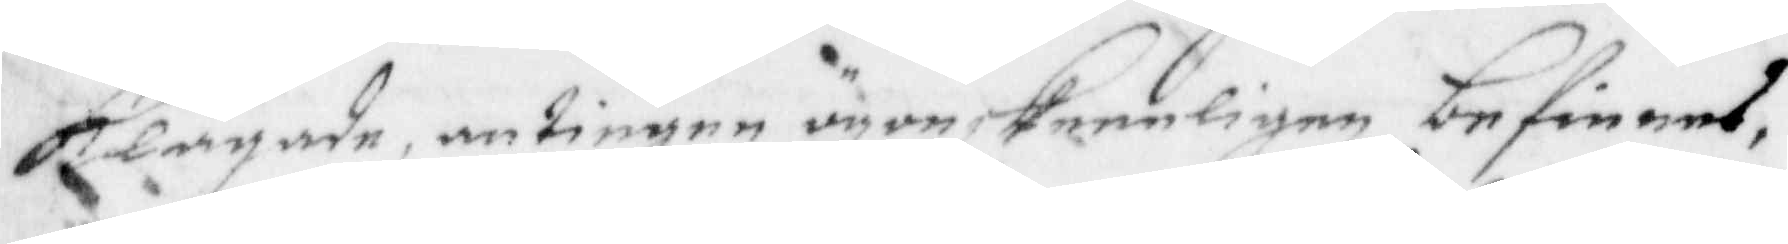klagade, antingen ögonskeneligen befinnes
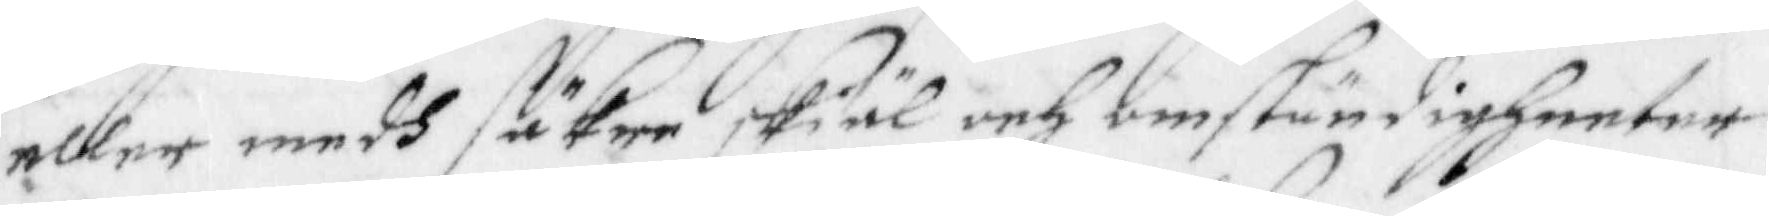eller medh säkre skiäl och omständigheeter
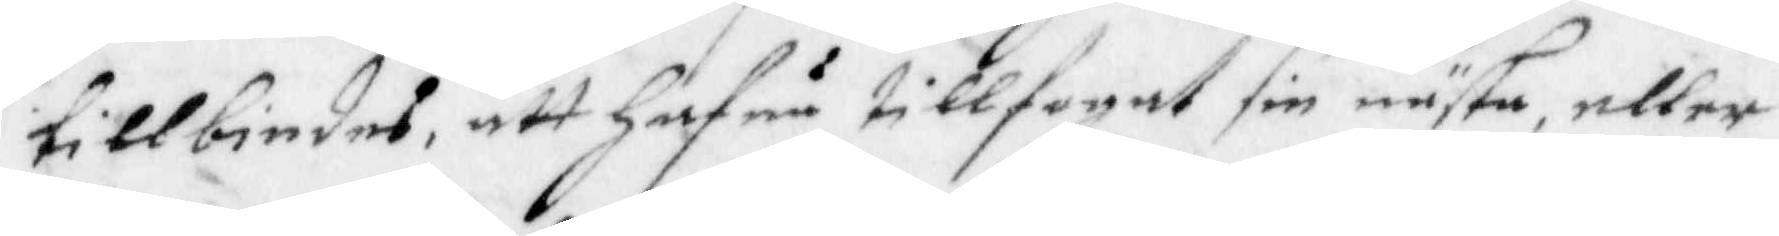tillbiudes, att hafua tillfogat sin nästa, eller
